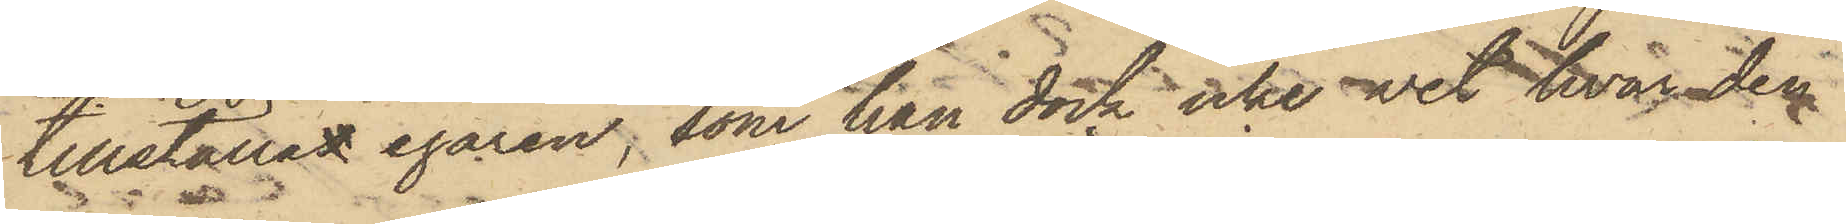tillställas egaren, som han dock icke vet hvar den
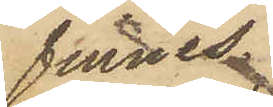finnes.
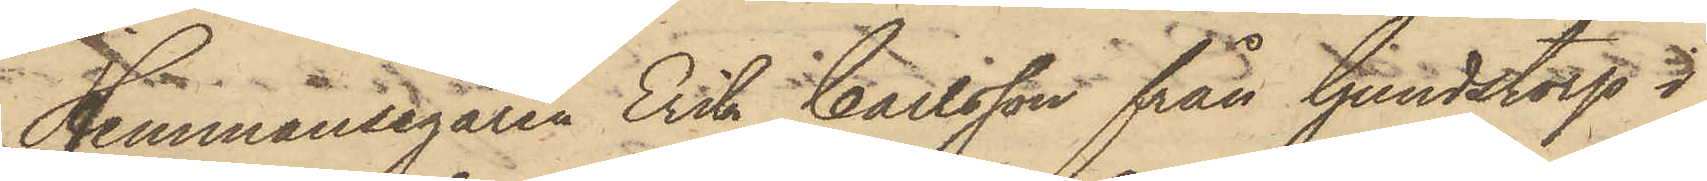Hemmansegaren Erik Carlsson från Gundstorp i
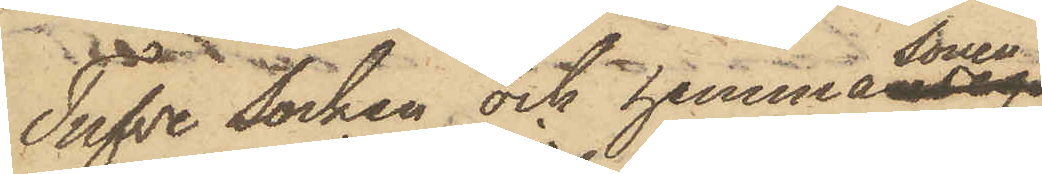Tufve Socken och hemmasonen
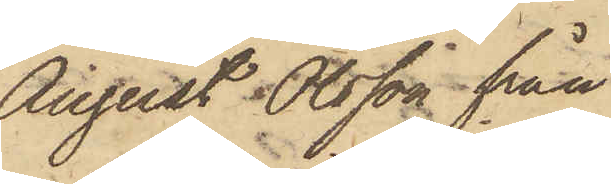August Olsson från
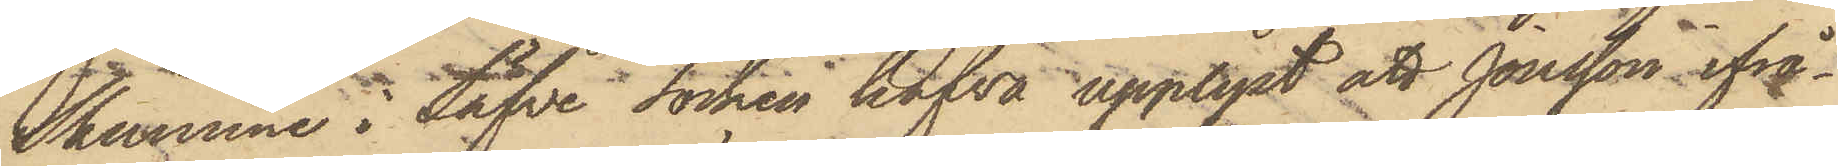Skummme i Säfve Socken hafva upplyst att Jonsson ifrå¬
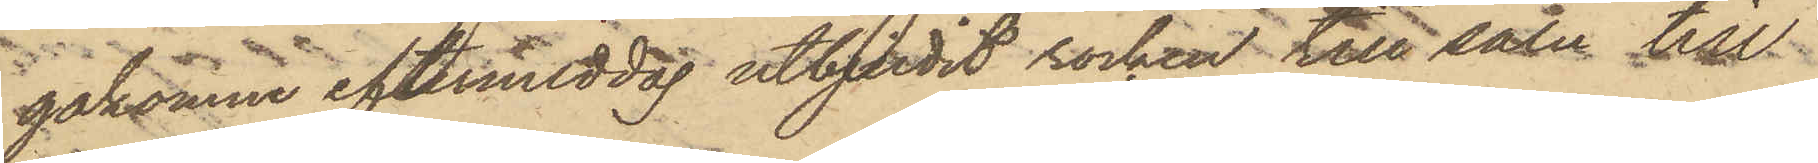gakomme eftermiddag utbjudit rocken till salu till
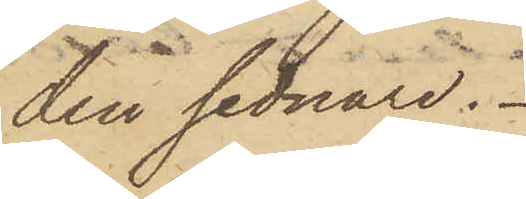den sednare.
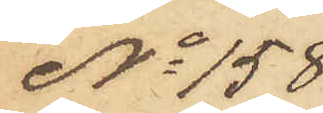No 158
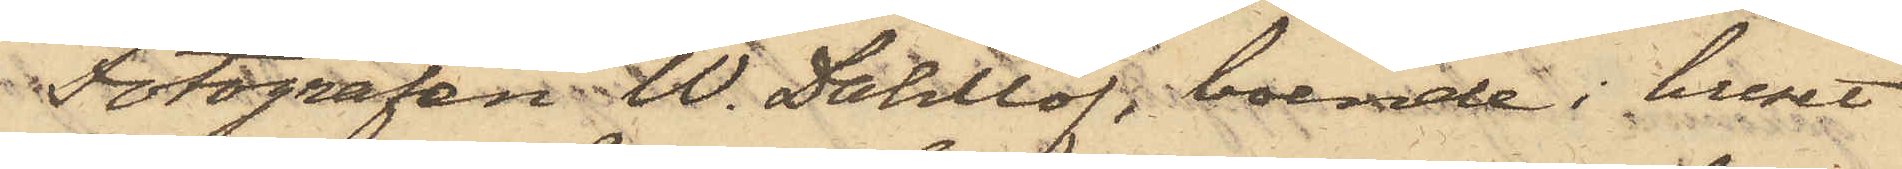Fotografen W. Dahllöf, boende i huset
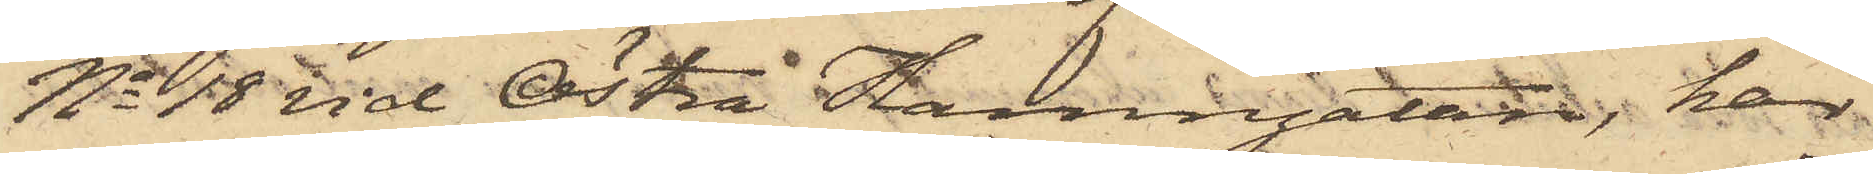No 18 vid Östra Hamngatan, har
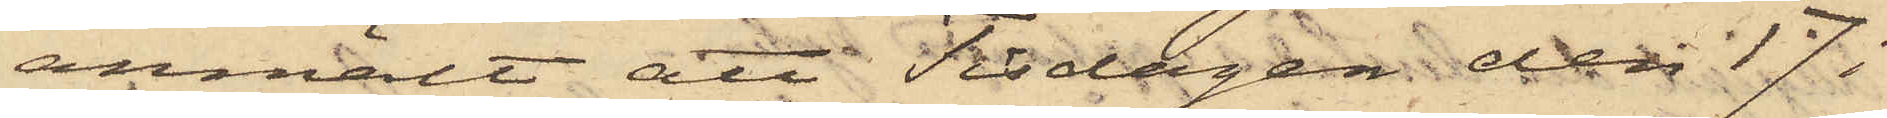anmält att Tisdagen den 17 i
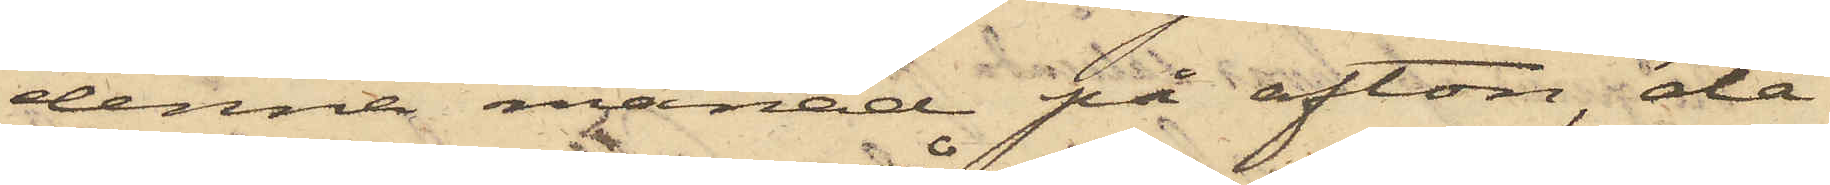denna månad på afton, då
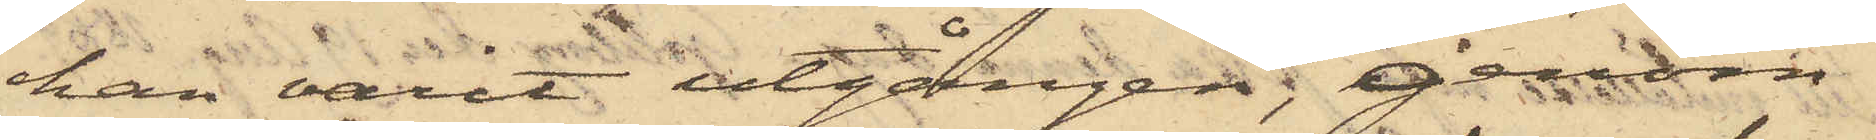han varit utgången; genom
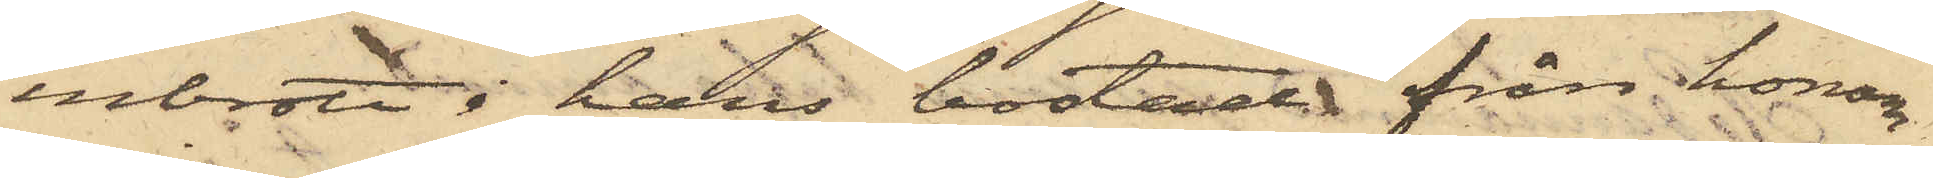inbrott i hans bostad från honom
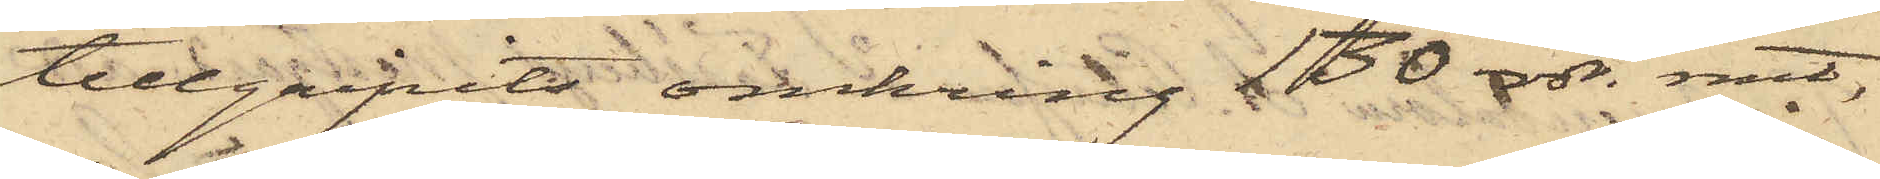tillgripits omkring 130 rdr. rmt,
